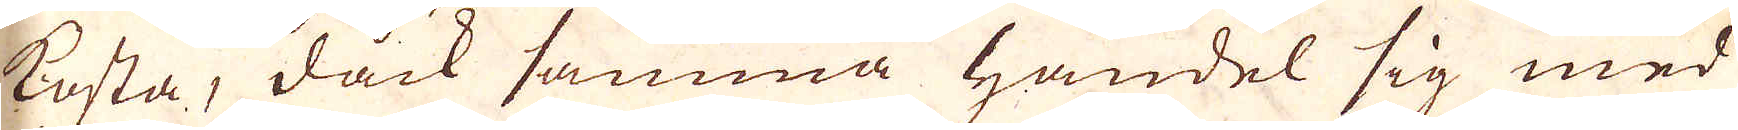kosta, dåck samma handel sig med
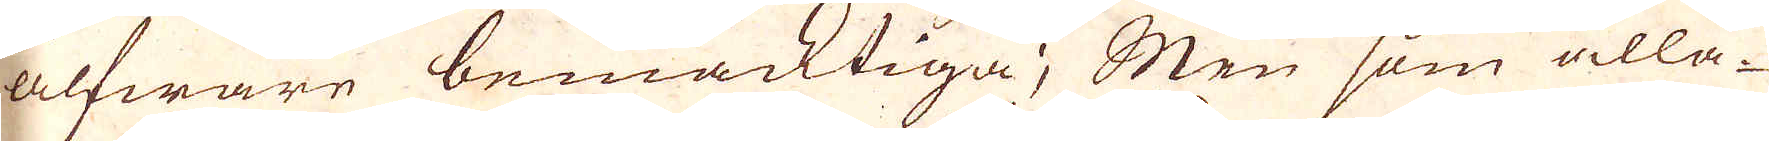alfware bemäcktiga; Mten som alla
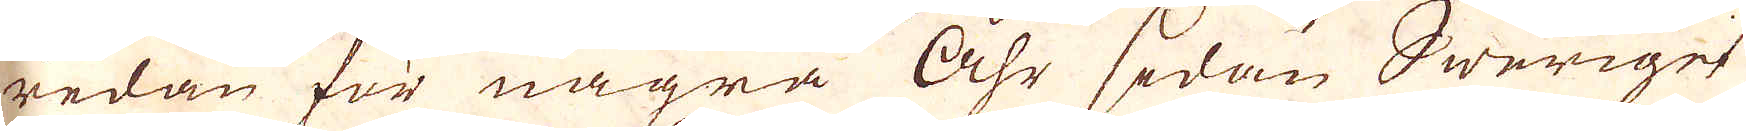redan för några Åhr sedan Sweriges
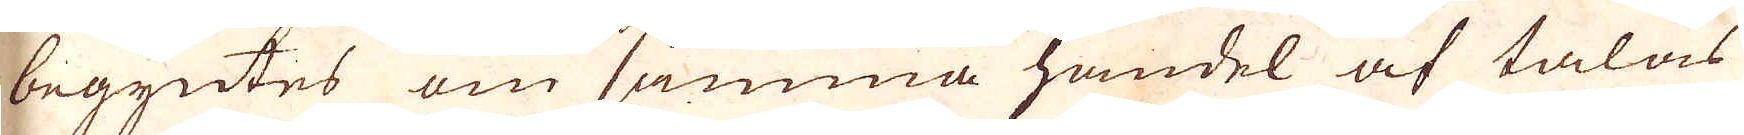begyntes om samma handel af talas
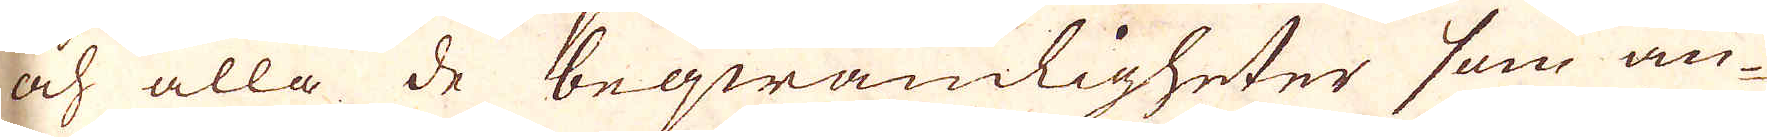och alla de beqwämligheter som an-
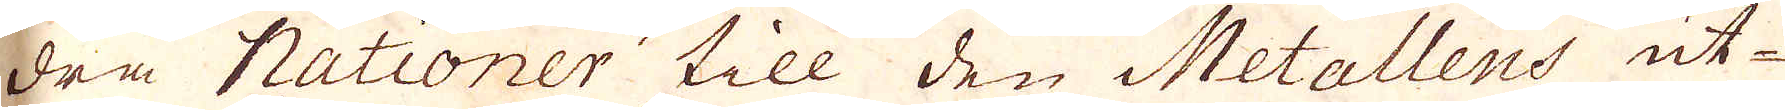dra Nationer till den Metallens ut-
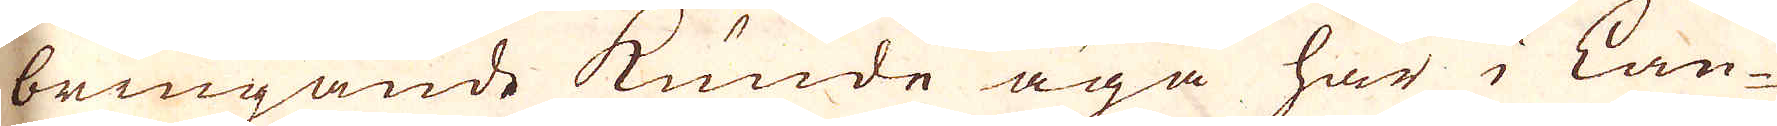bringande kunde äga här i Lan-
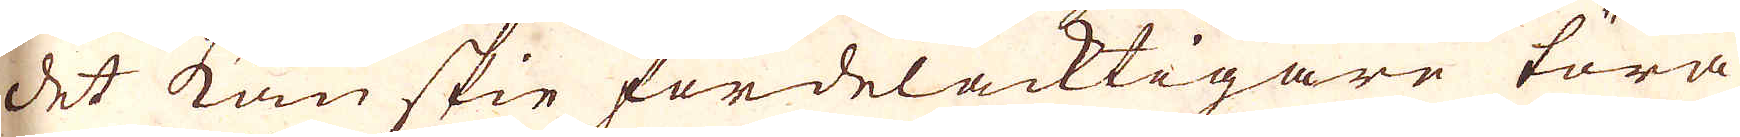det kanskie fördelacktigare lära
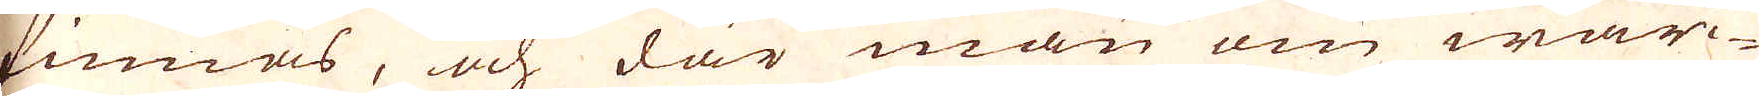finnas, och där man om wär-
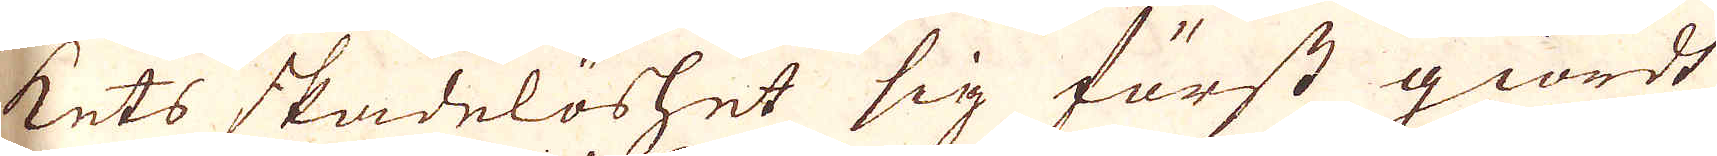kets skadelöshet sig först giordt
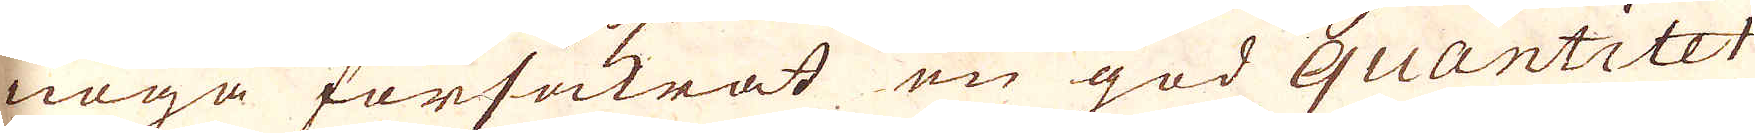noga förfäkrat en god quantitet
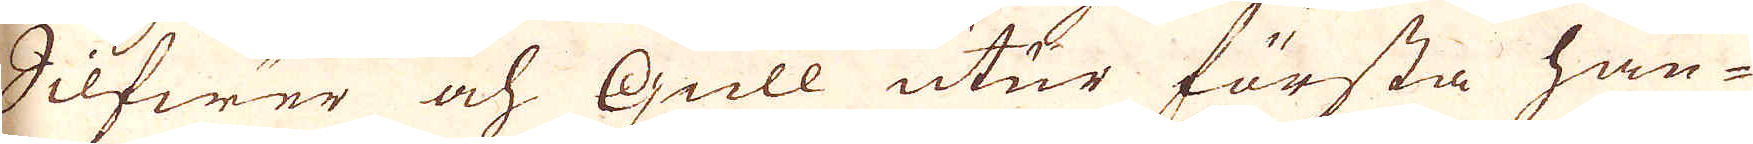Silfwer och Gull uter första han-
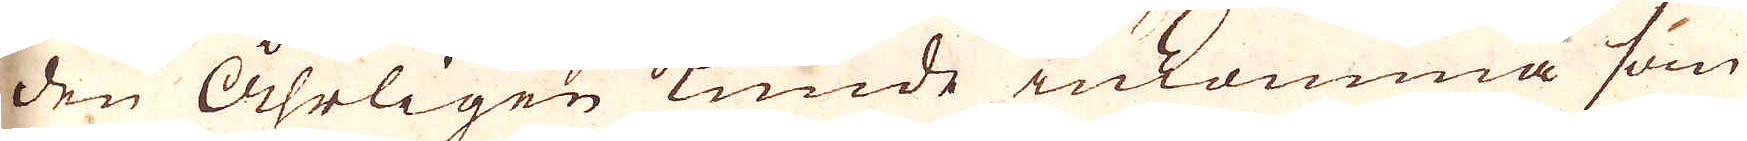den åhrligen kunde inkomma som
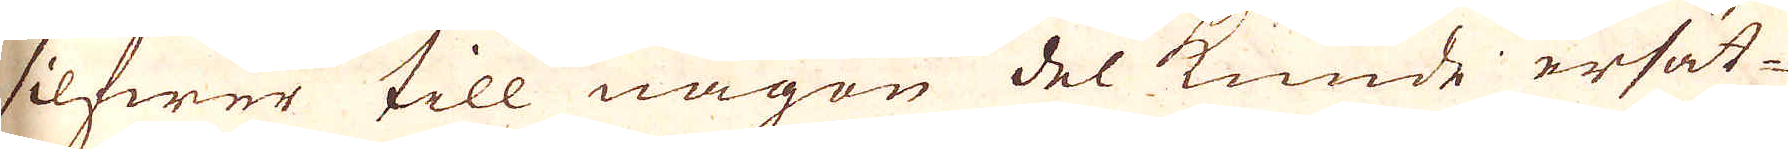silfwer till någon del kunde ersät-
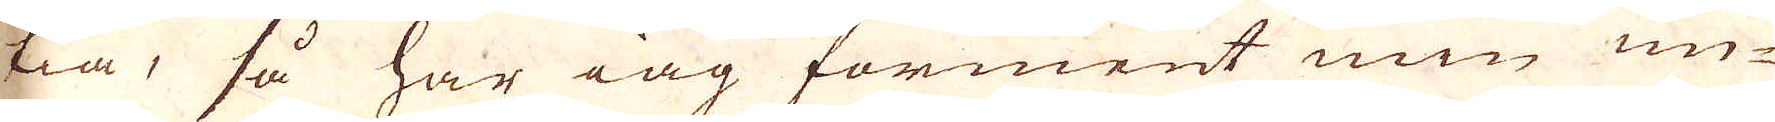tia, så har iag förment min un-
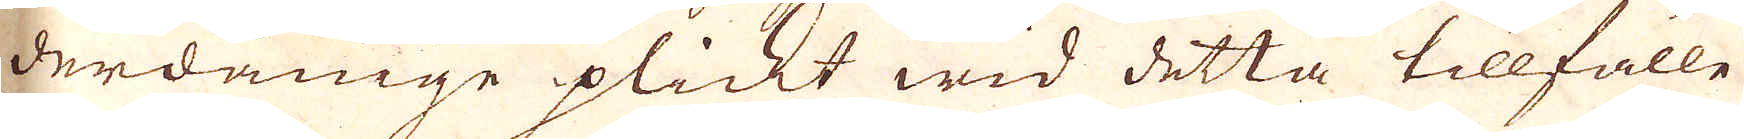derdånige plickt wid detta tillfälle
